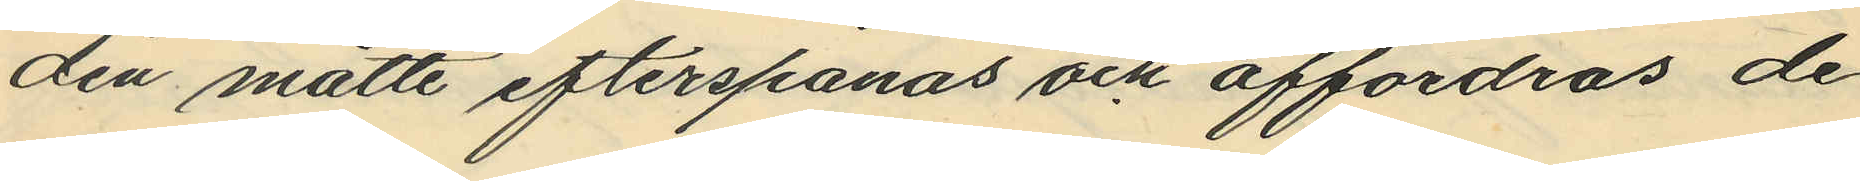dén måtte efterspanas och affordras de
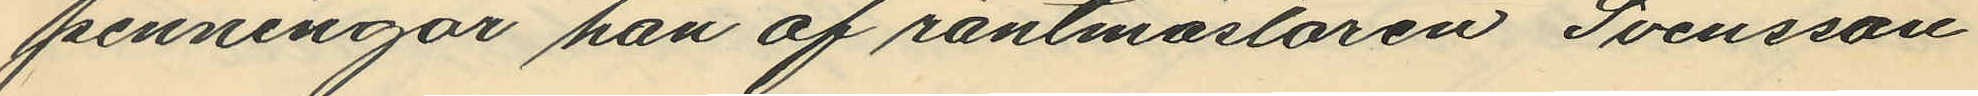penningar han af räntmästaren Svensson
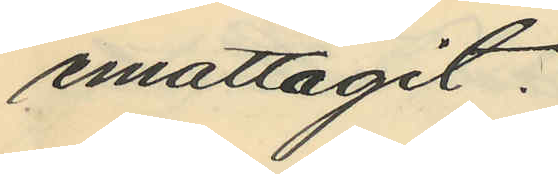emottagit.
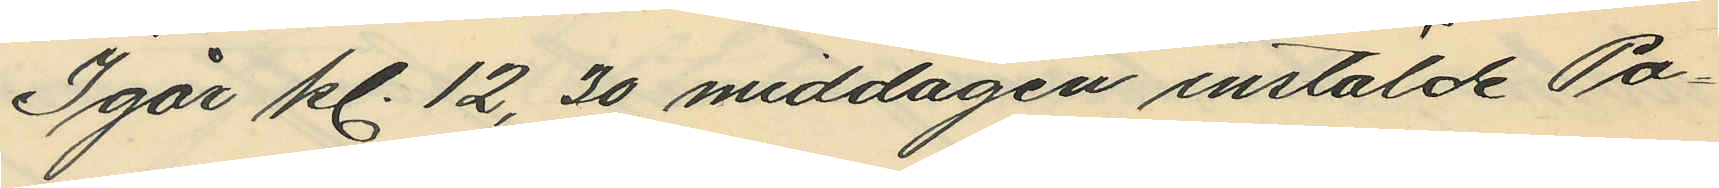Igår kl. 12,30 middagen instälde Po¬
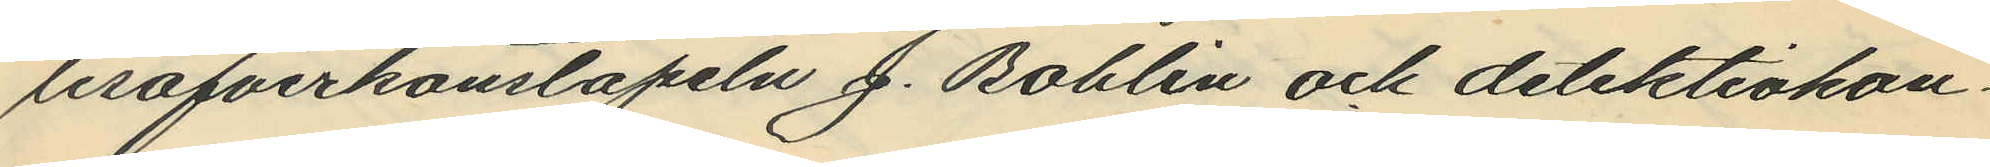lisöfverkonstapeln J. Bohlin och detektivkon¬
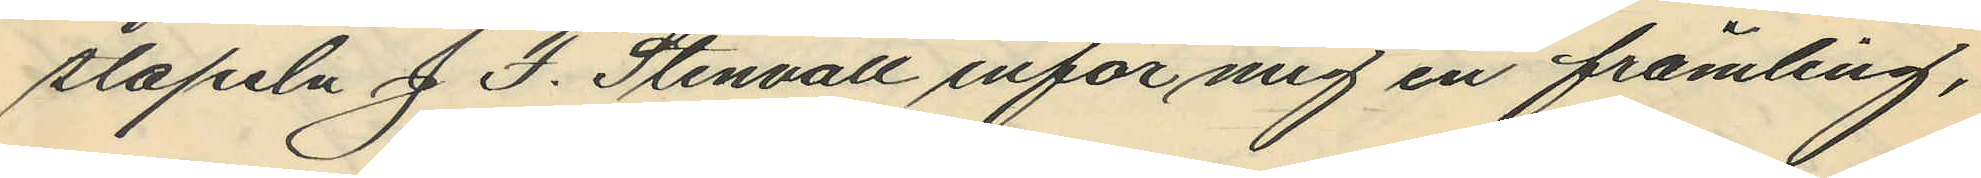stapeln J. F. Stenvall inför mig en främling,
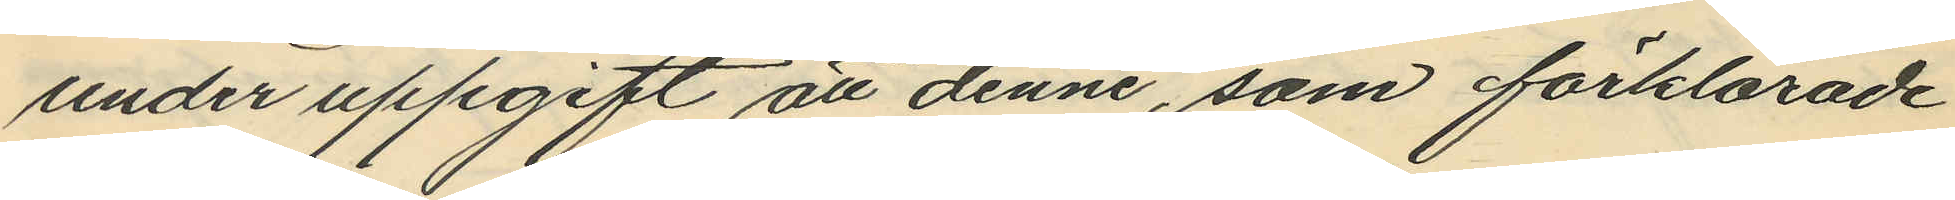under uppgift att denne, som förklarade
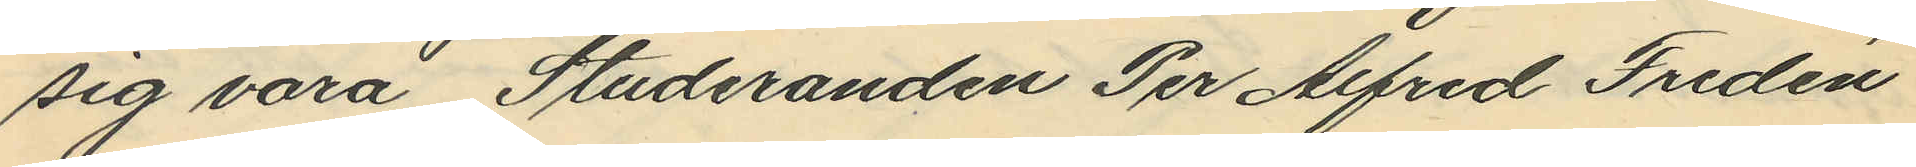sig vara Studeranden Per Alfred Fredén
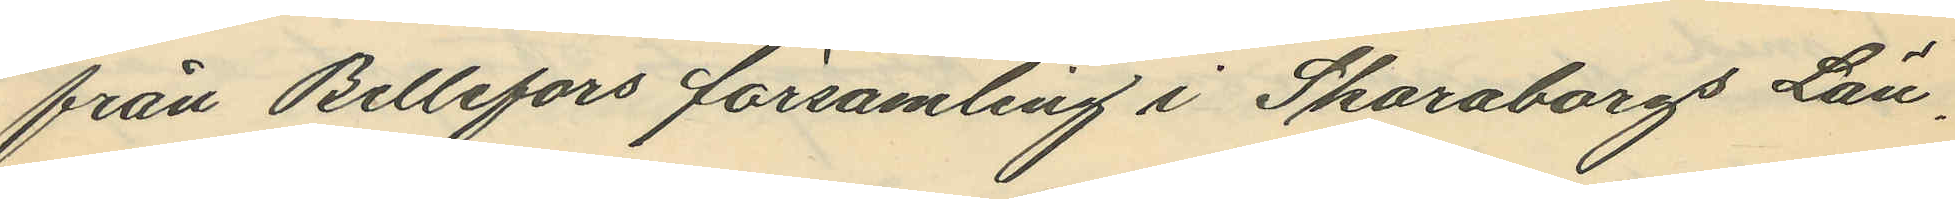från Bellefors församling i Skaraborgs Län,
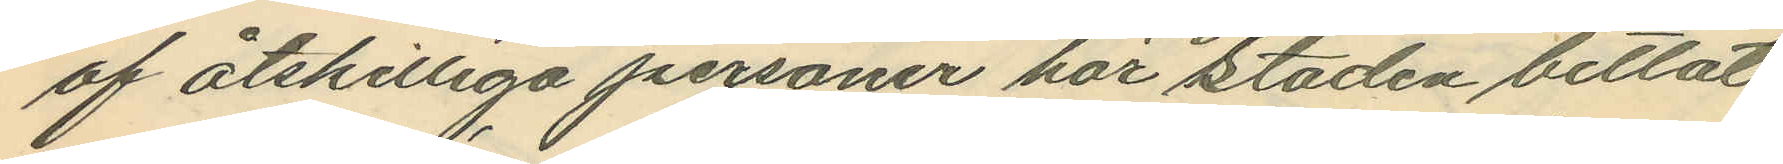af åtskilliga personer här i staden betlat.
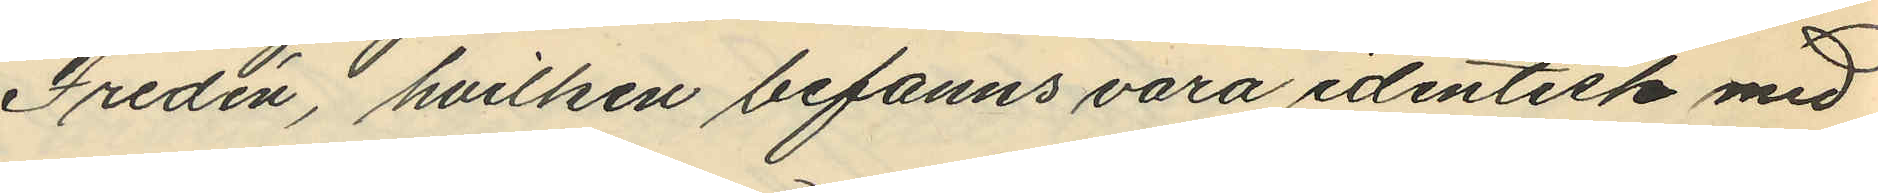Fredén, hvilken befanns vara identisk med
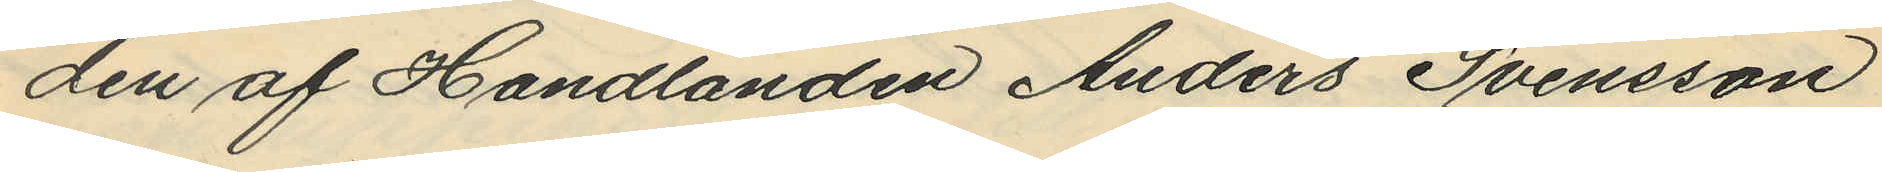den af Handlanden Anders Svensson
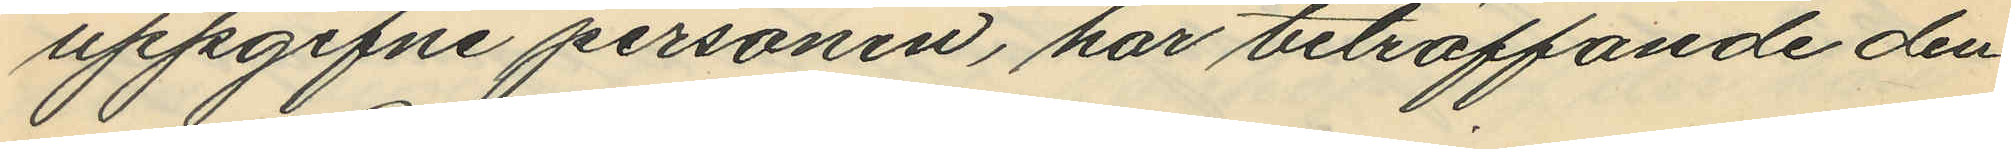uppgifne personen, har beträffande den
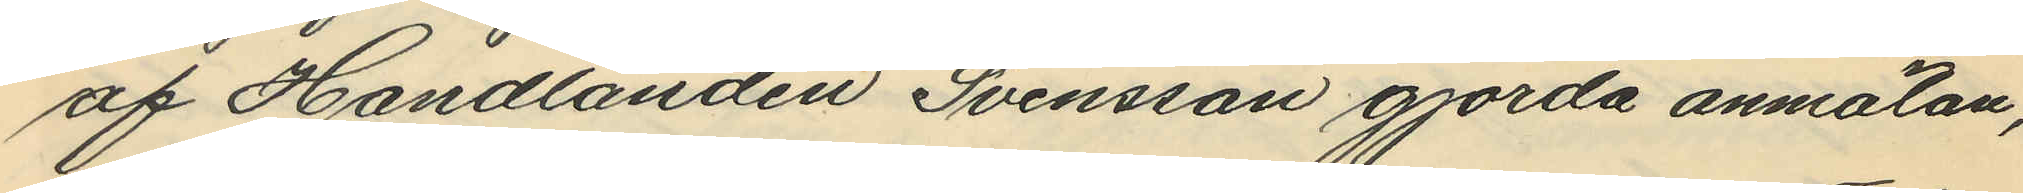af Handlanden Svensson gjorda anmälan,
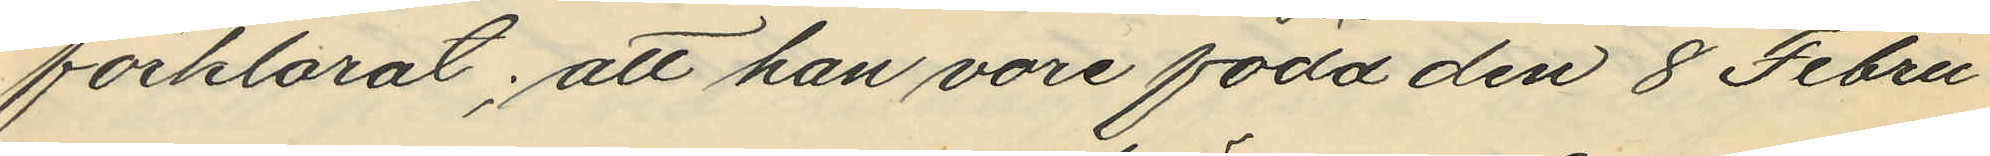förklarat; att han vore född den 8 Febru¬
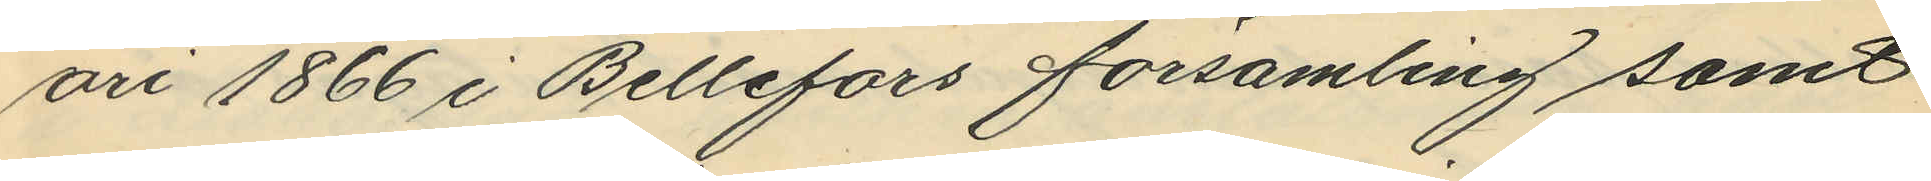ari 1866 i Bellefors församling samt
